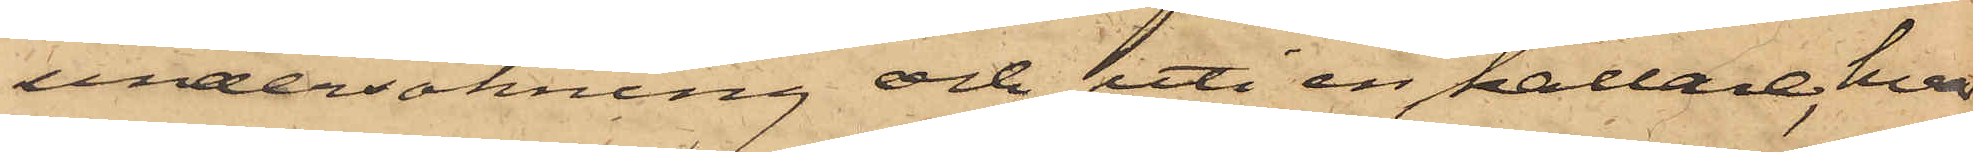undersökning och uti en källare, hvar¬
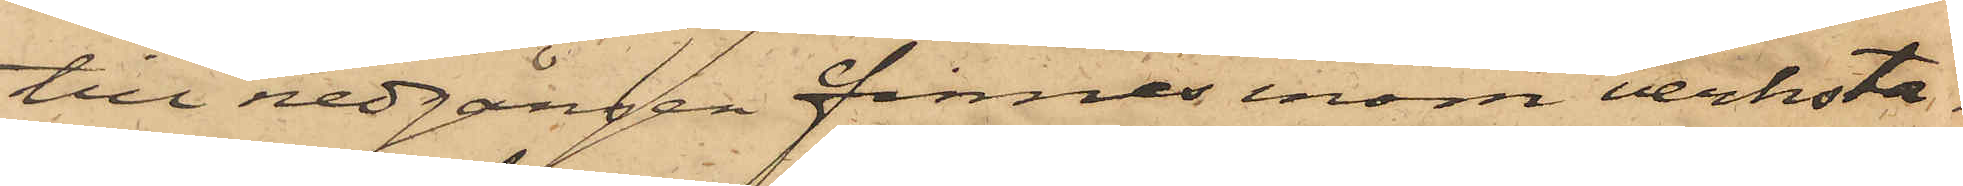till nedgången funnes inom verksta¬
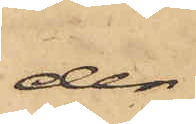den,
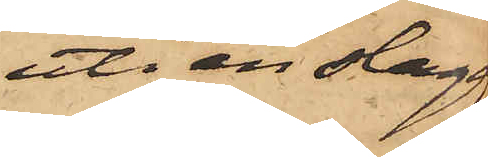uti en slagg¬
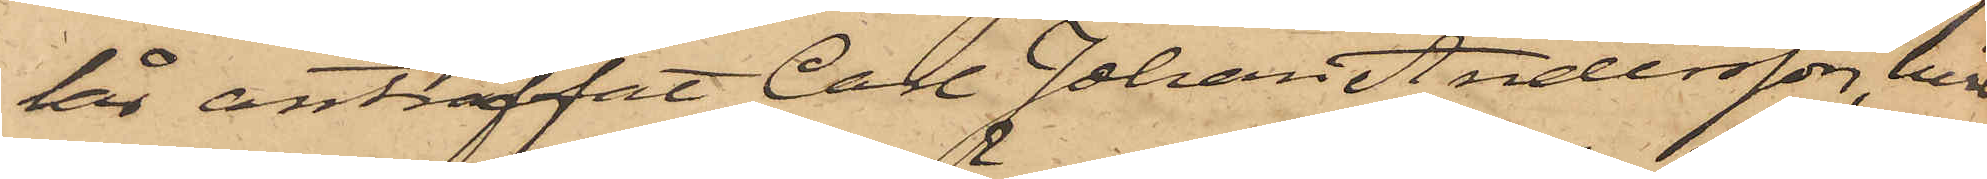lår anträffat Carl Johan Andersson, hvil¬
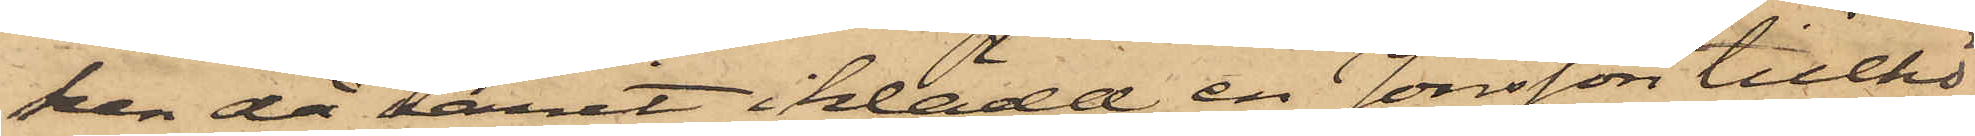ken då varit iklädd en Jonsson tillhö¬
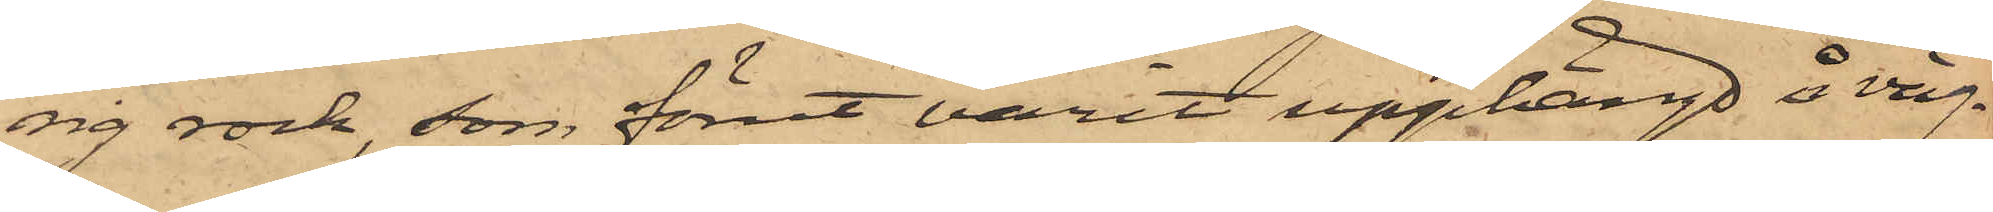sig rock, som förut varit upphängd å väg¬
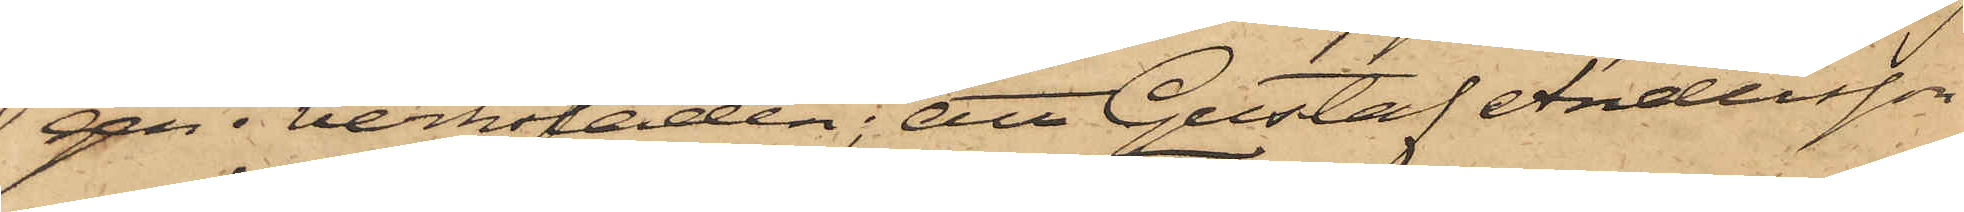gen i verkstaden; att Gustaf Andersson
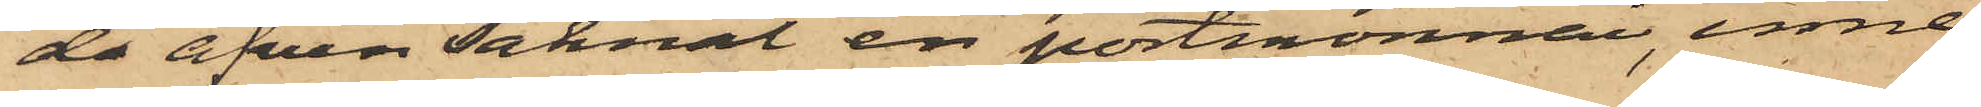de äfven saknat en portmonni, inne¬
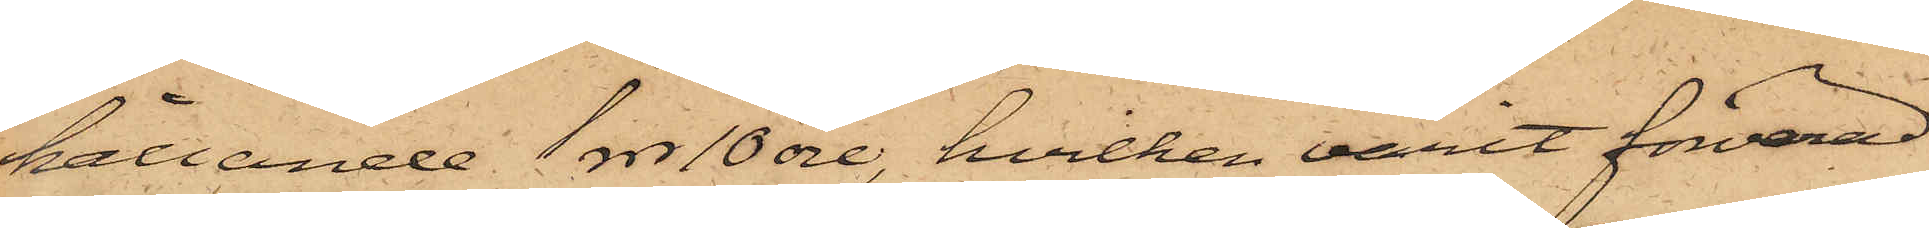hållande 1 rdr 10 öre, hvilken varit förvarad
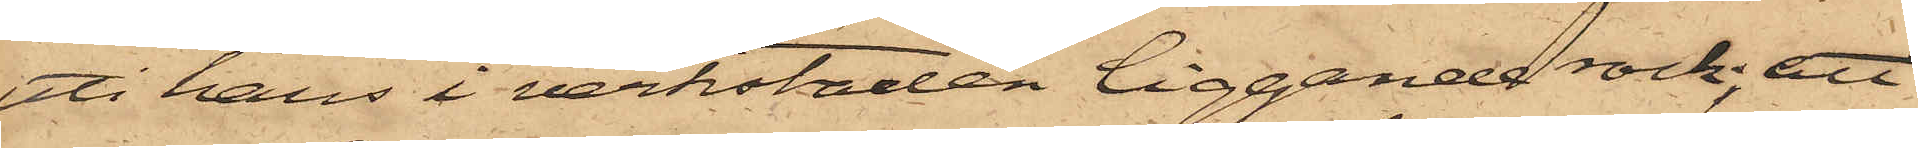uti hans i verkstaden liggande rock, att
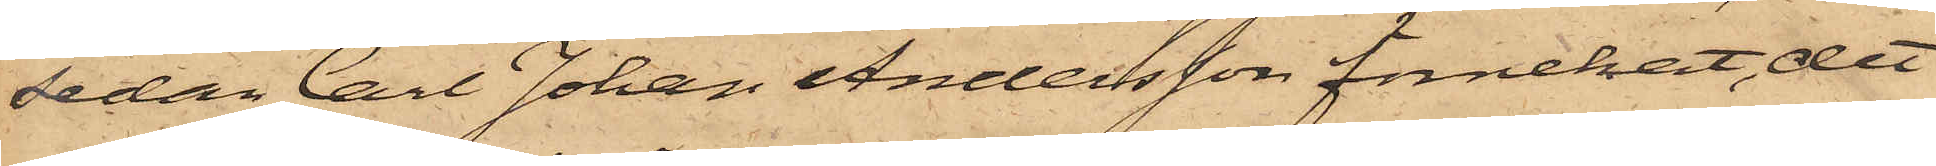sedan Carl Johan Andersson förnekat, det
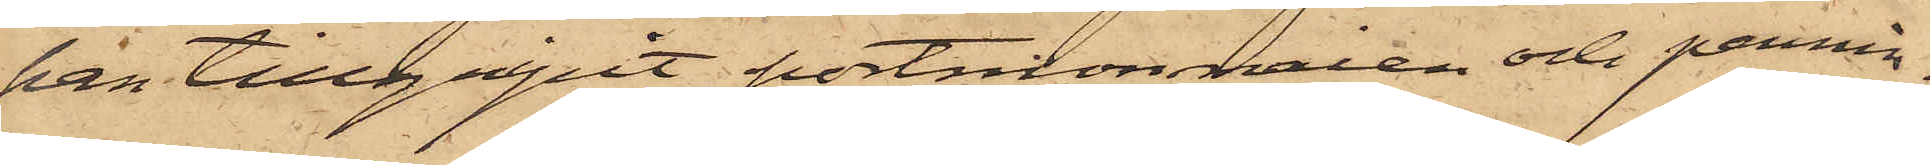han tillgripit portmonnaien och pennin¬
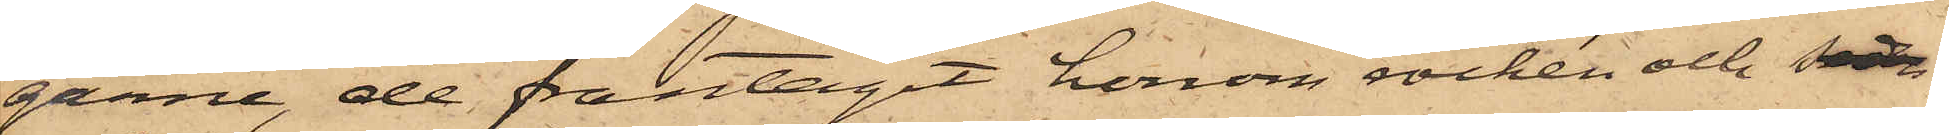garne, de fråntagit honom rocken och sedan
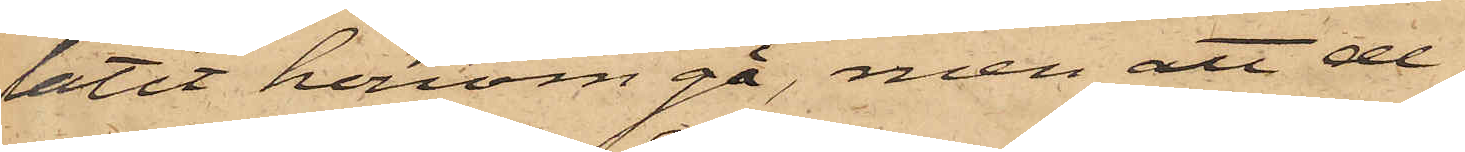låtit honom gå, men att de
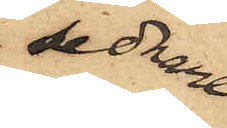sednare
